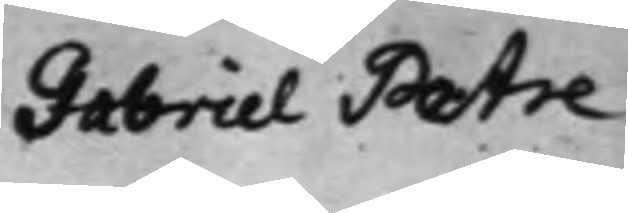Gabriel Petre
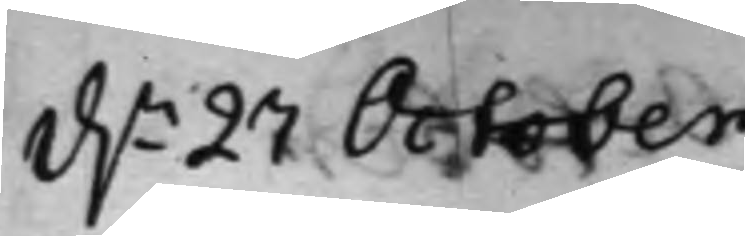d.n 27 October
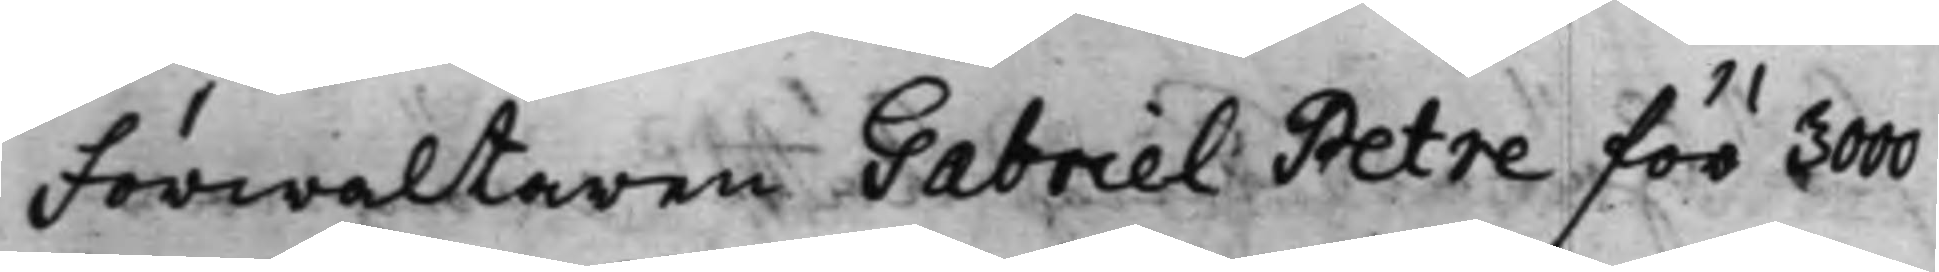Förwaltaren Gabriel Petre för 3000
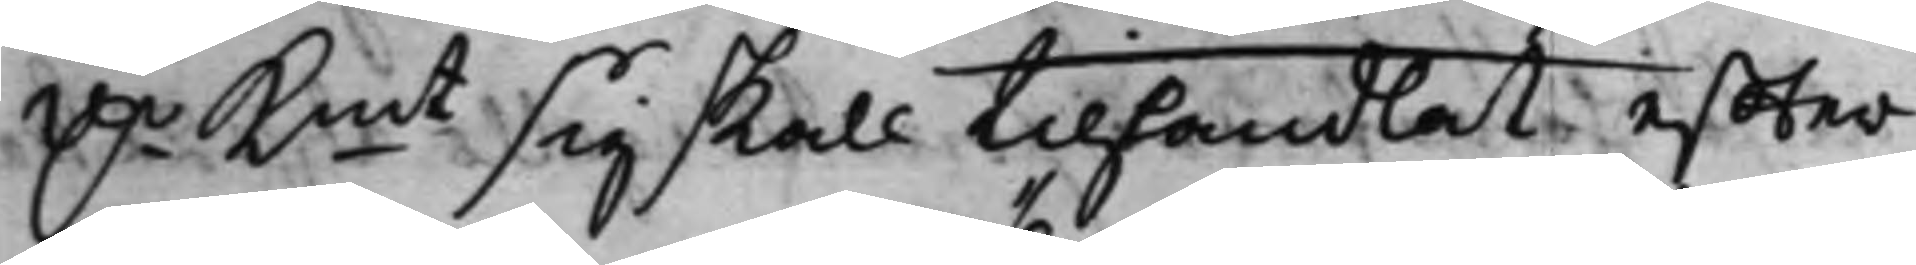D.r Kmt sig skall tillhandlat, effter¬
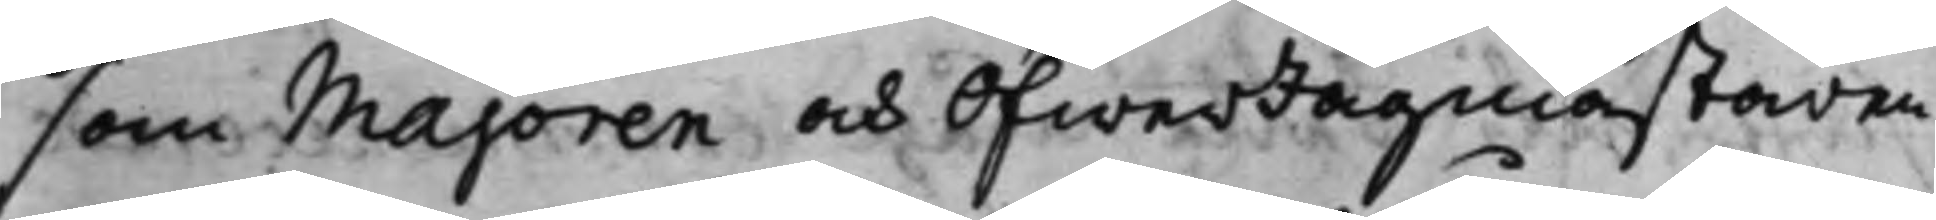som Majoren och ÖfwerJägmästaren
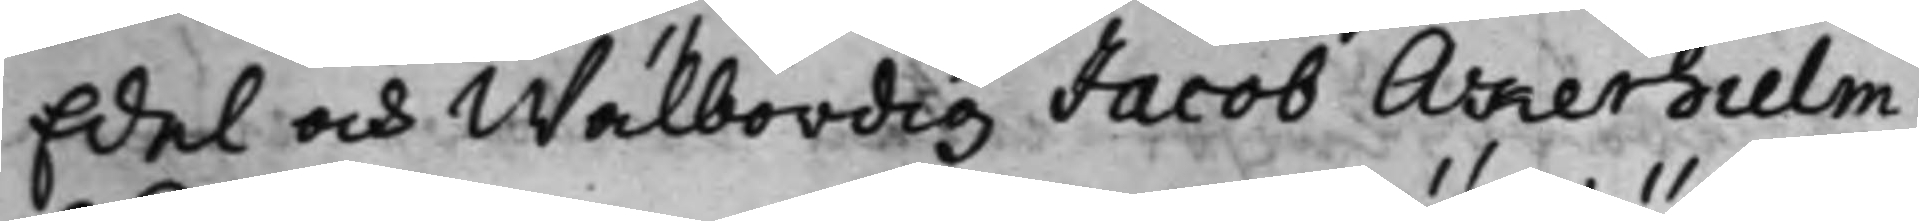Edel och Wälbördig Jacob Åkerhielm
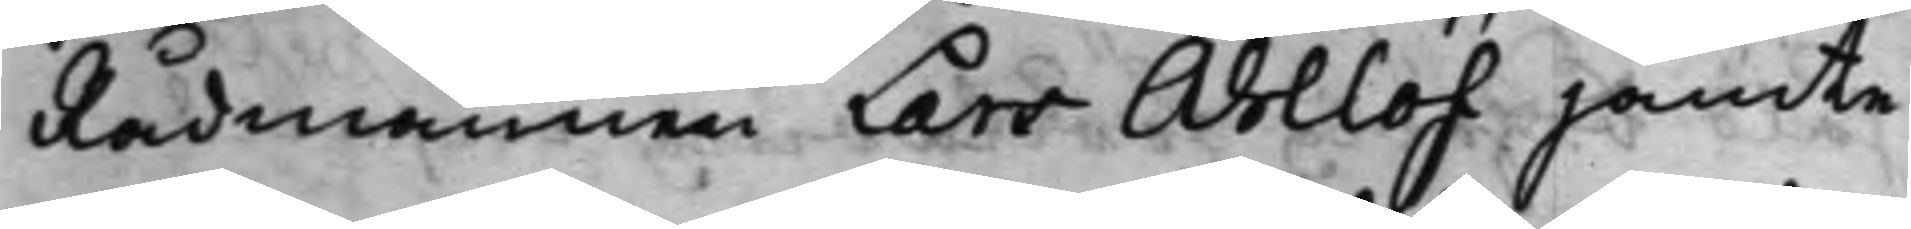Rådmannen Lars Ahllöf jämte
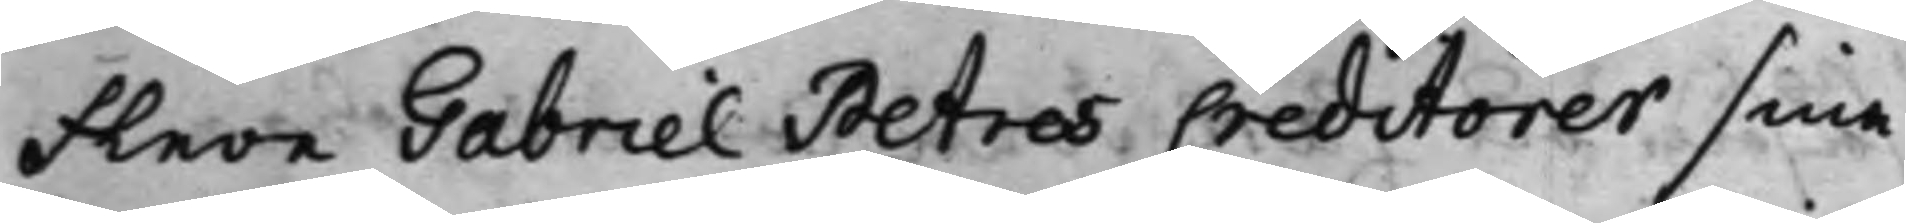flere Gabriel Petres Creditorer sina
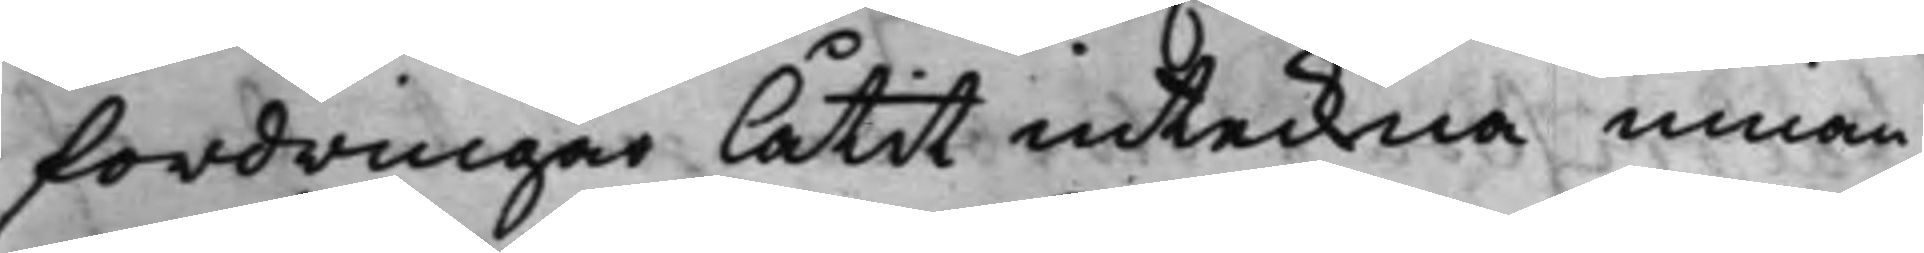fordringar låtit inteckna innan
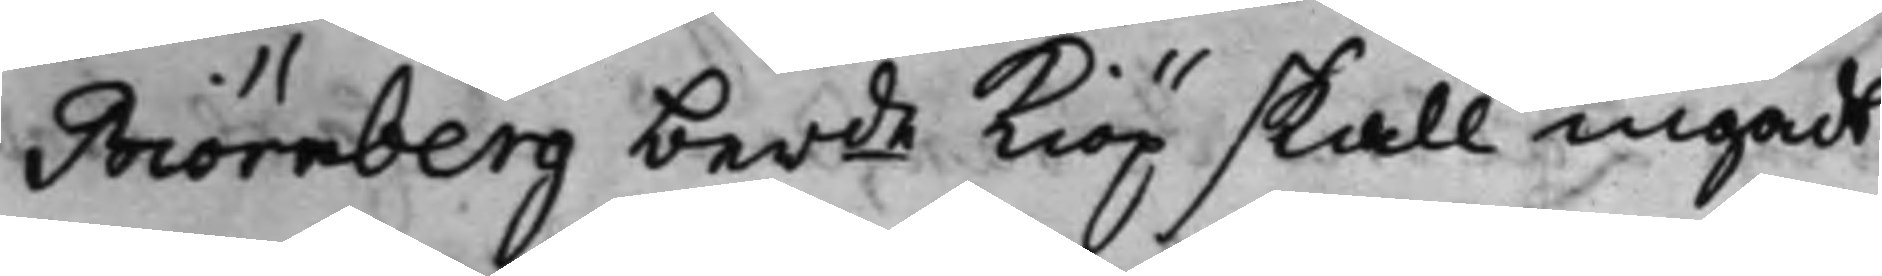Biörnberg berde Kiöp skall ingådt
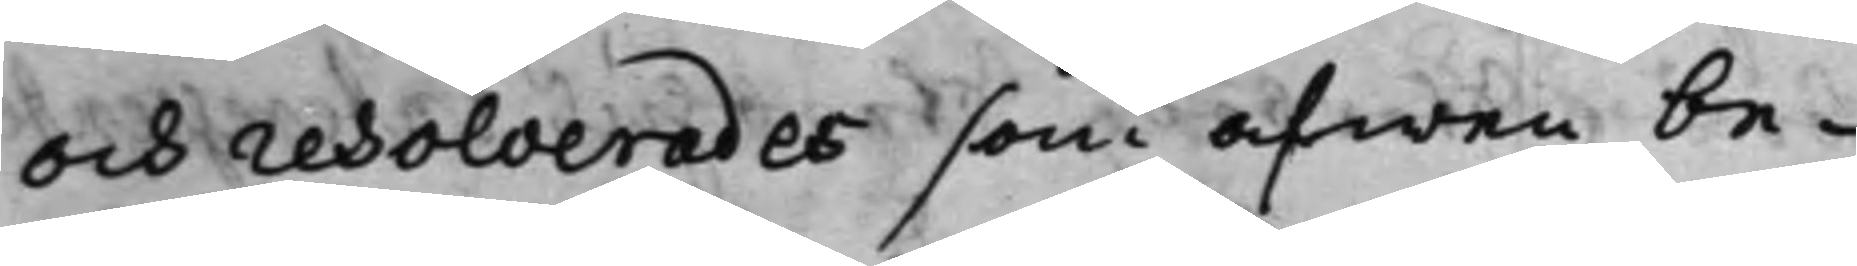och resolverades som äfwen be¬
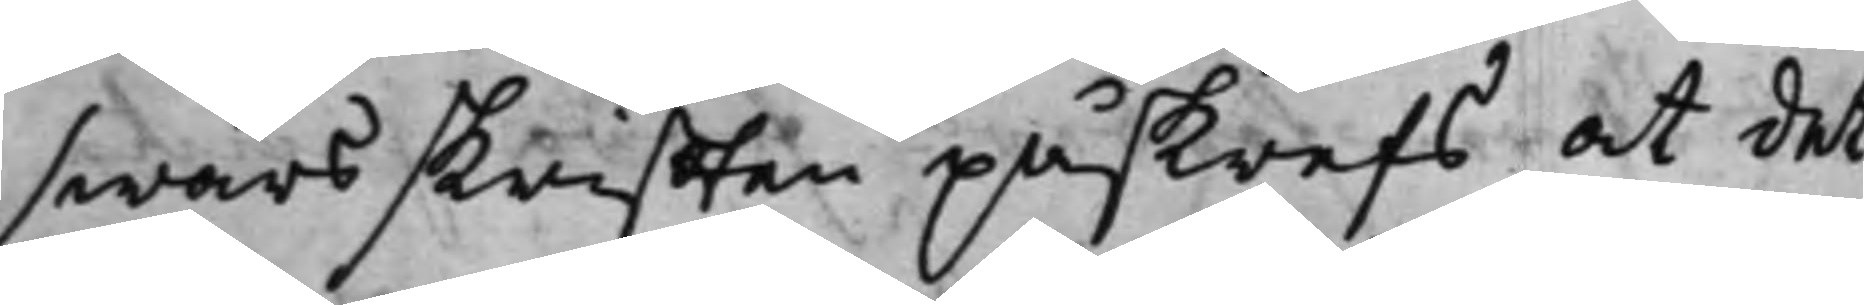swärsskrifften påskrefs at det¬
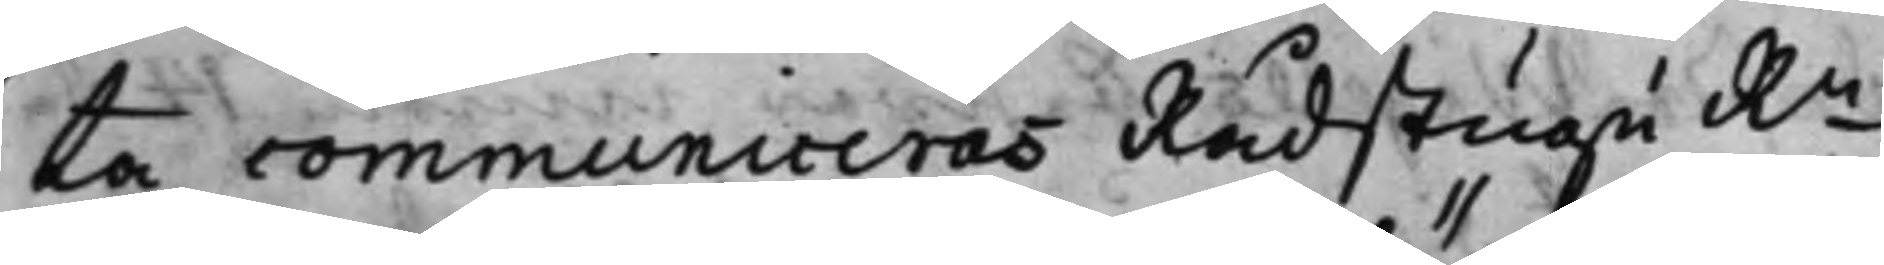ta communiceras Rådstugu Rn
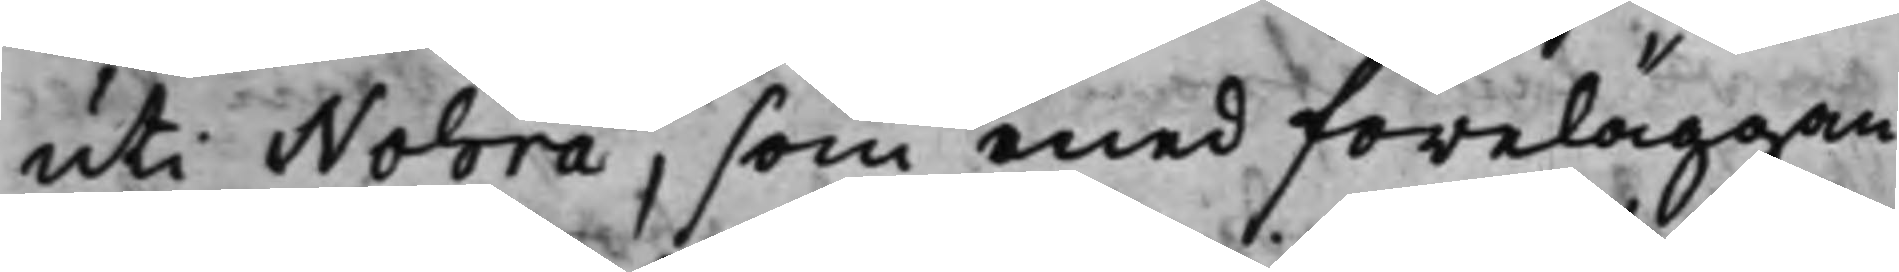uti Nohra, som med föreläggan¬
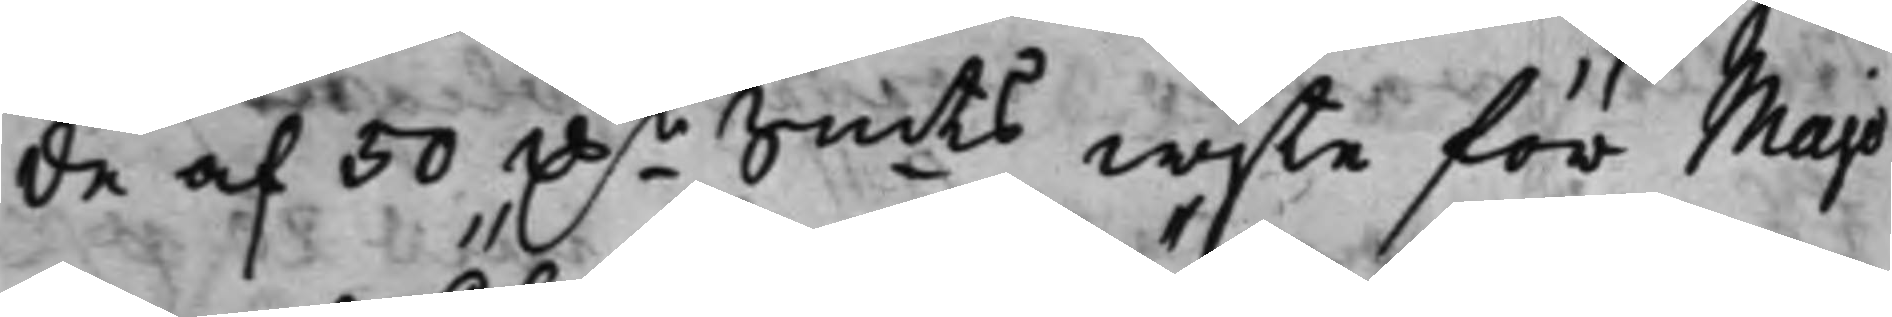de af 50 D.r Smts wijte för Majo¬
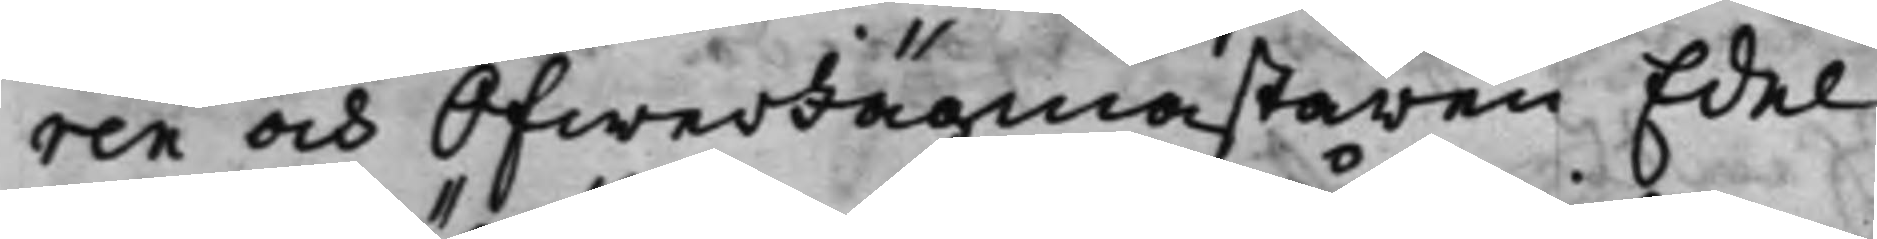ren och ÖfwerJägmästaren Edel
